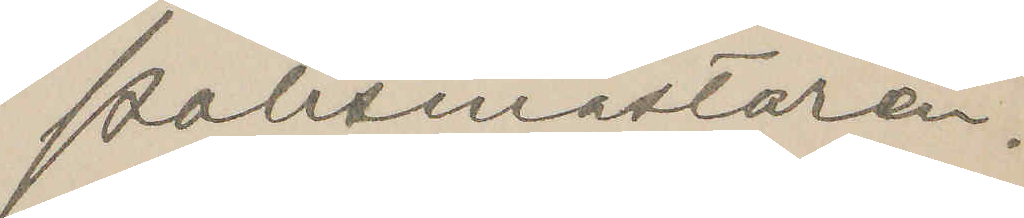Polismästaren.
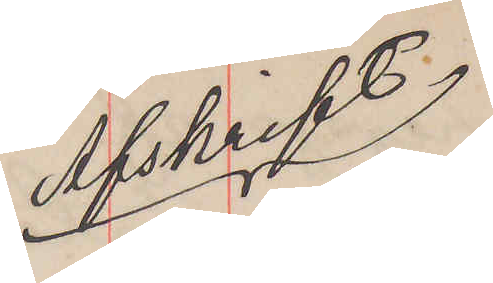Afskrift
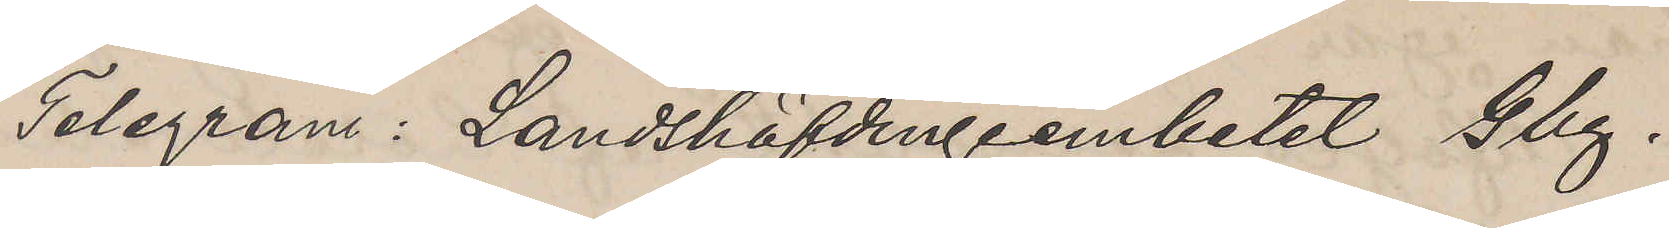Telegram: Landshöfdingeembetet Gbg.
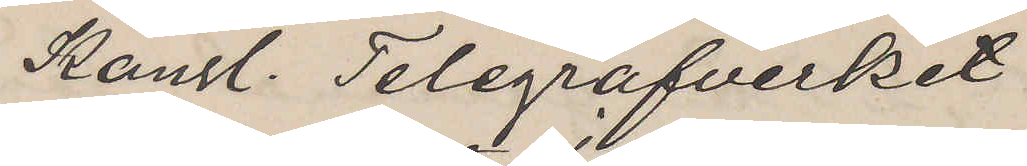Kongl. Telegrafverket
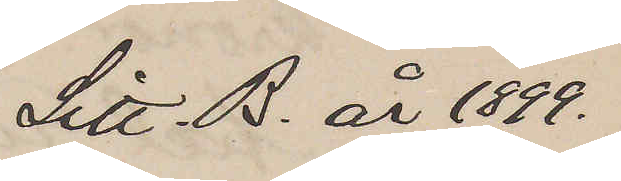Litt. B. år 1899.
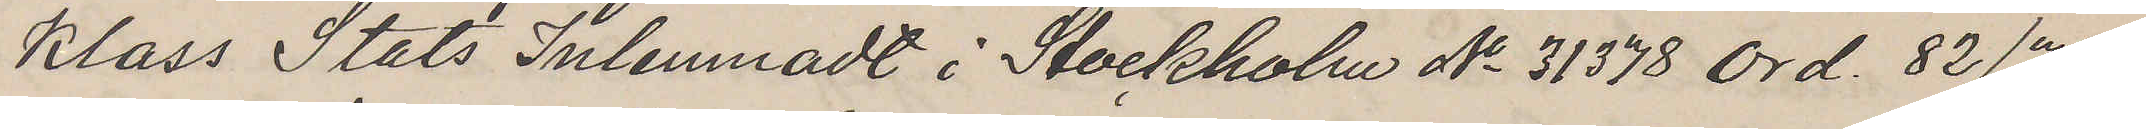Klass Stats inlemnadt i Stockholm No 31378 Ord. 82/78
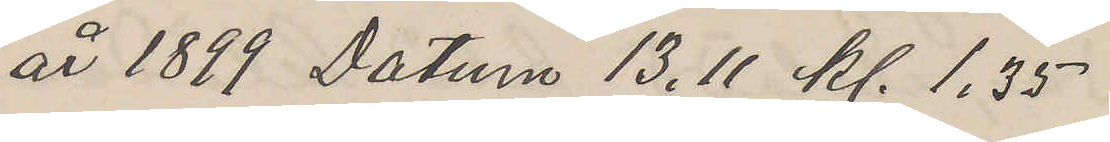år 1899 Datun 13.11 kl. 1.35
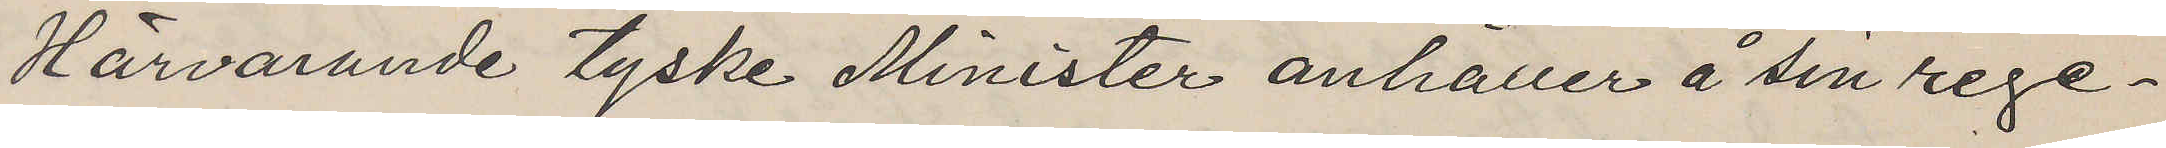Härvarande tyske Minister anhåller å sin rege¬
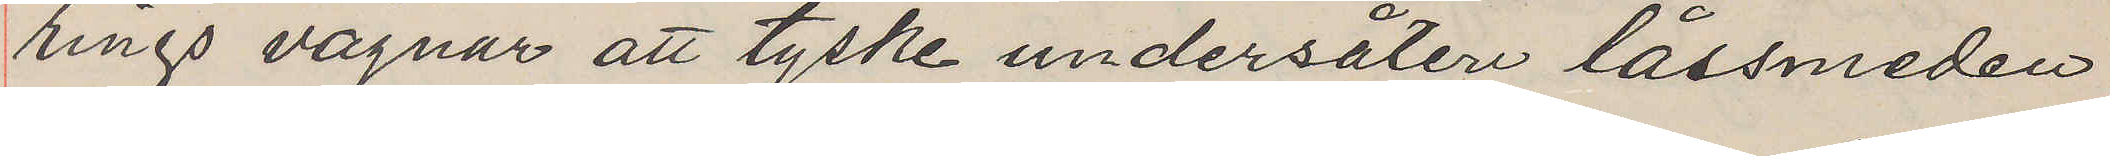rings vägnar att tyske undersåten låssmeden
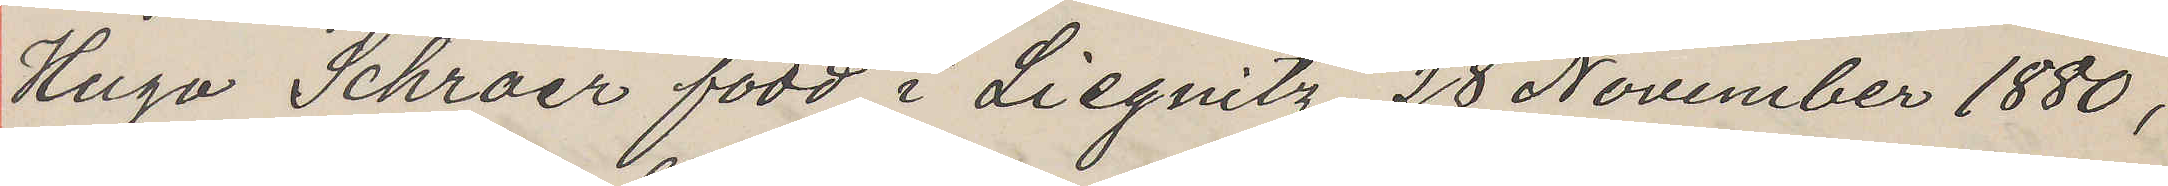Hugo Schraer född i Liegnitz 28 November 1880,
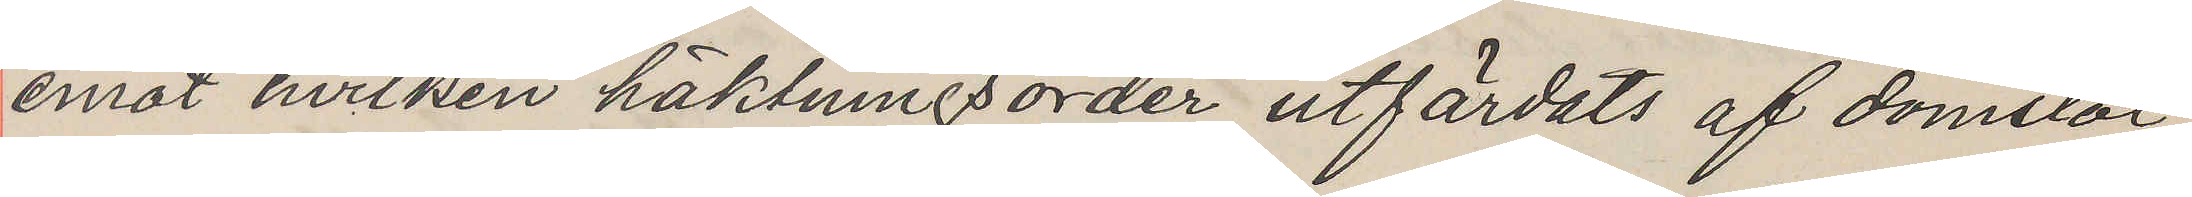emot hvilken häktningsorder utfärdats af domstol
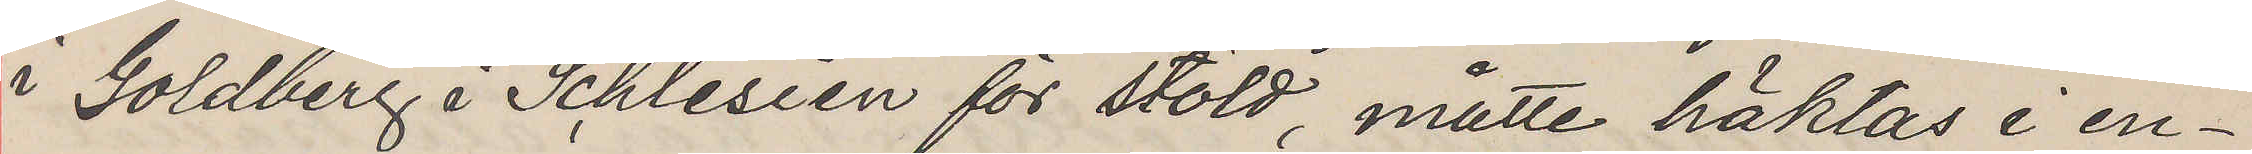i Goldberg i Schlesien för stöld, måtte häktas i en¬
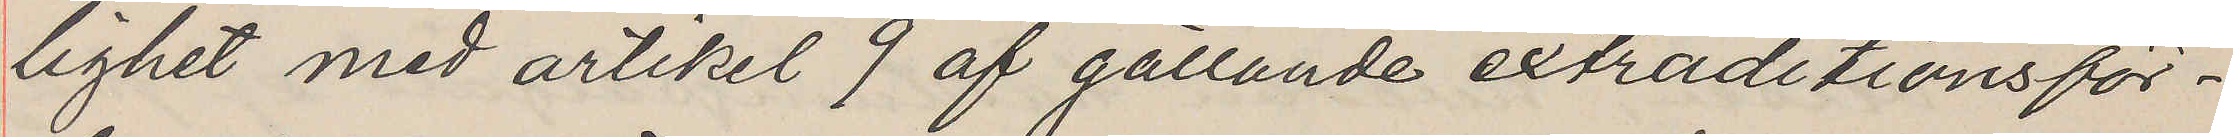lighet med artikel 9 af gällande extraditionsför¬
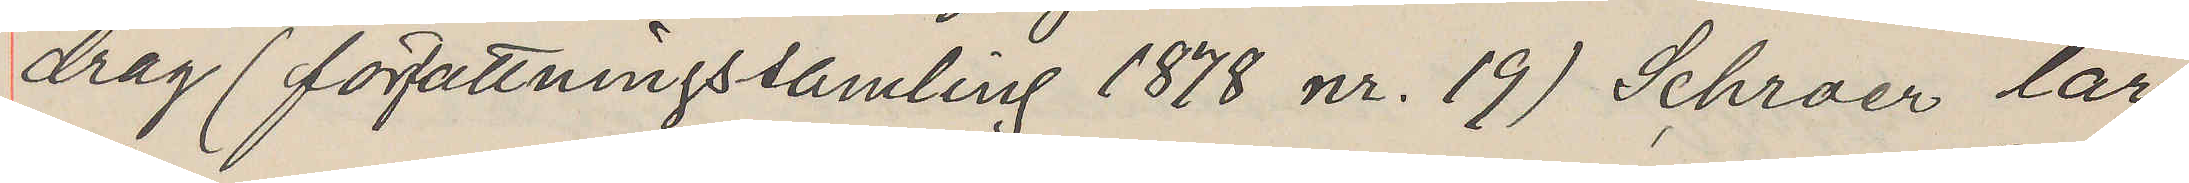drag (författningssamling 1878 nr. 19) Schraer lär
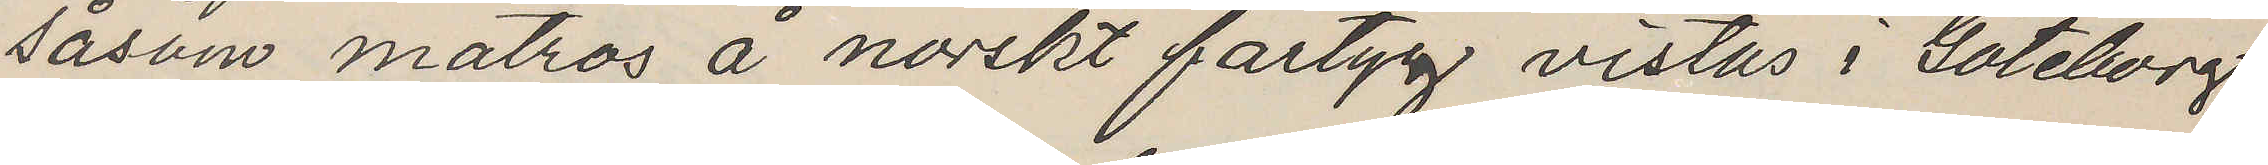såsom matros å norskt fartyg vistas i Göteborg
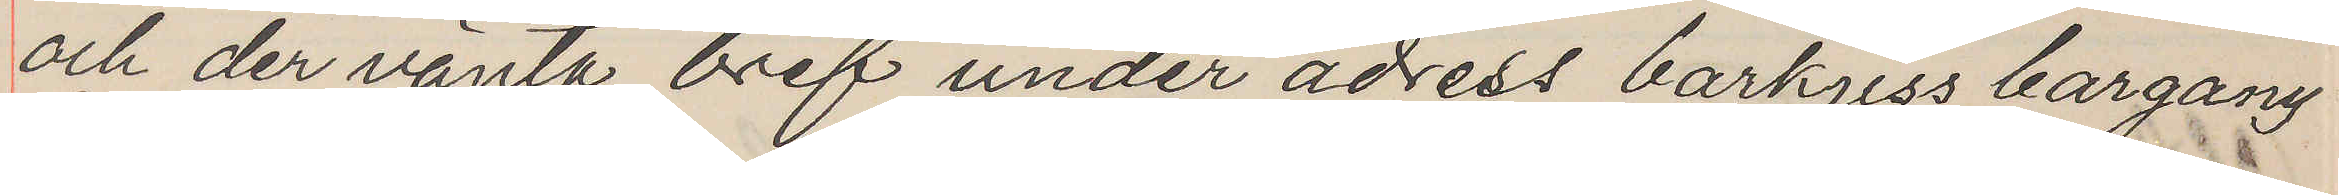och der vänta bref under adress barkjiss) bargany
